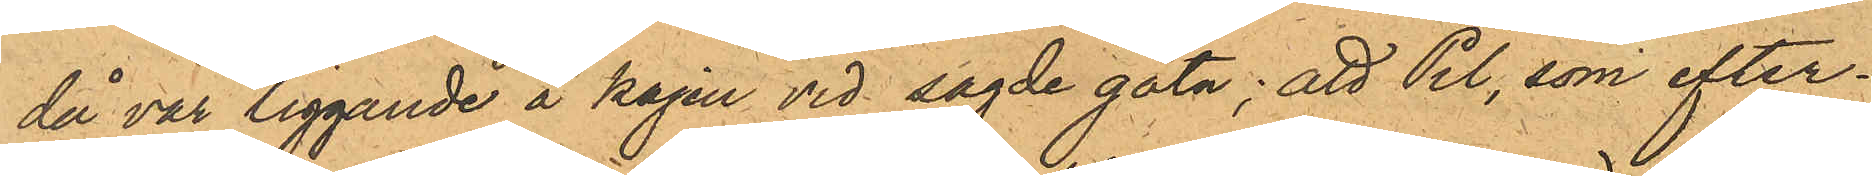då var liggande å kajen vid sagde gata; att Pil, som efter¬
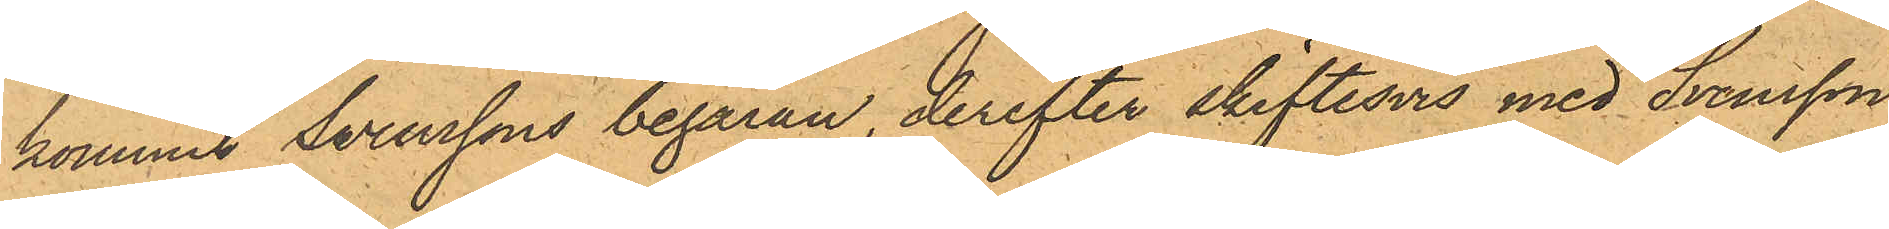kommit Svenssons begäran, derefter skiftesvis med Svensson
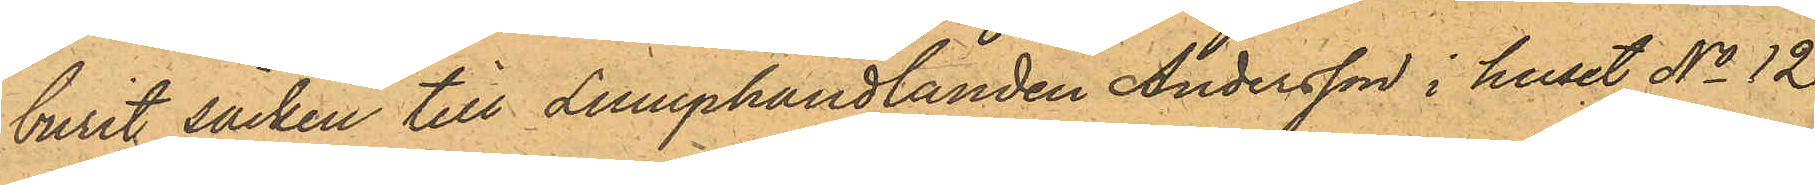burit säcken till Luuphandlanden Andersson i huset No 12
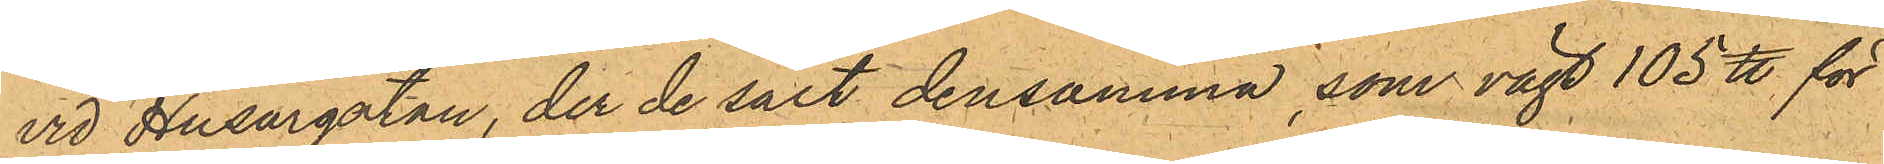vid Husargatan, der de sålt densamma, som vägt 105 ℔ för
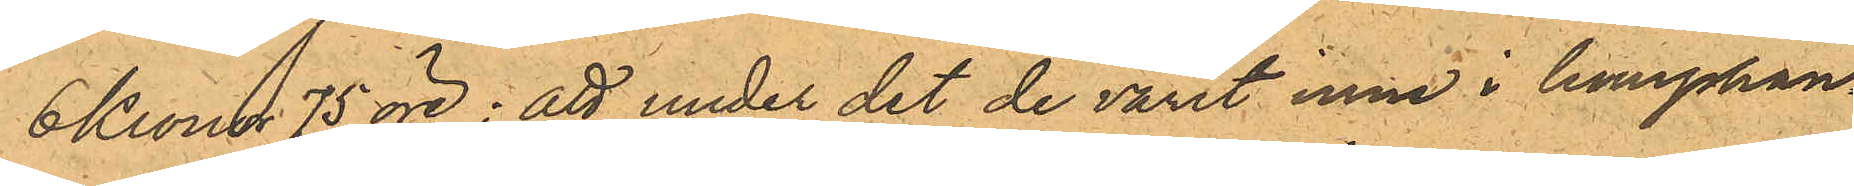6 Kronor 75 öre; att under det de varit inne i lumphan¬
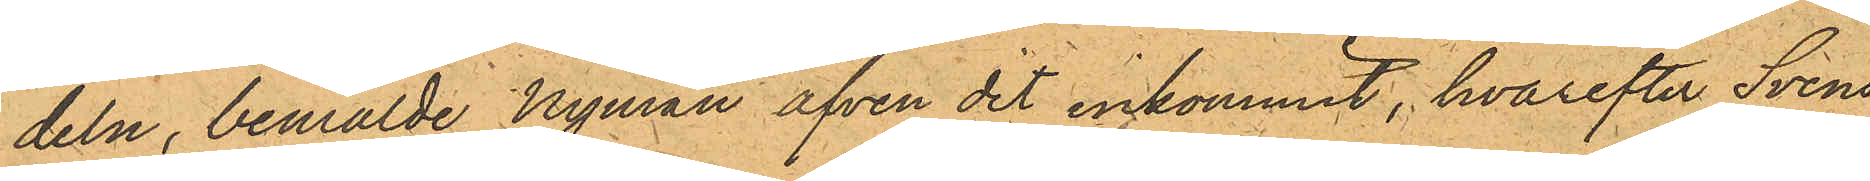deln, bemälde Nyman äfven dit inkommit, hvarefter Svens¬
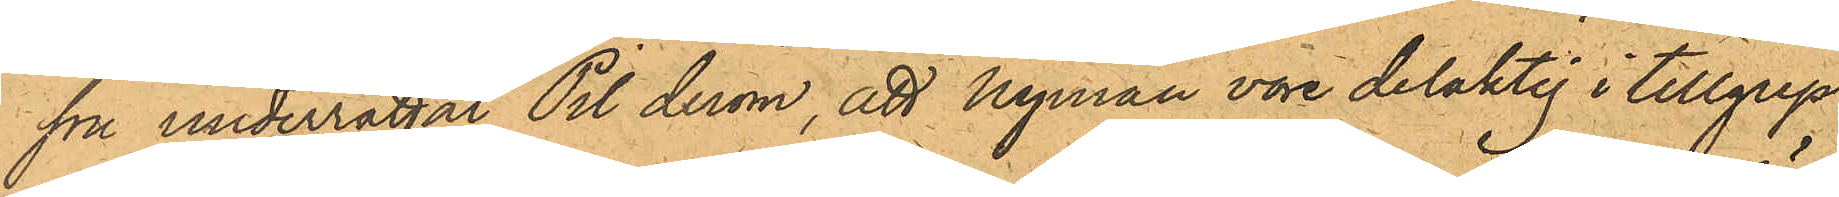son underrättat Pil derom, att Nyman vore delaktig i tillgrep¬
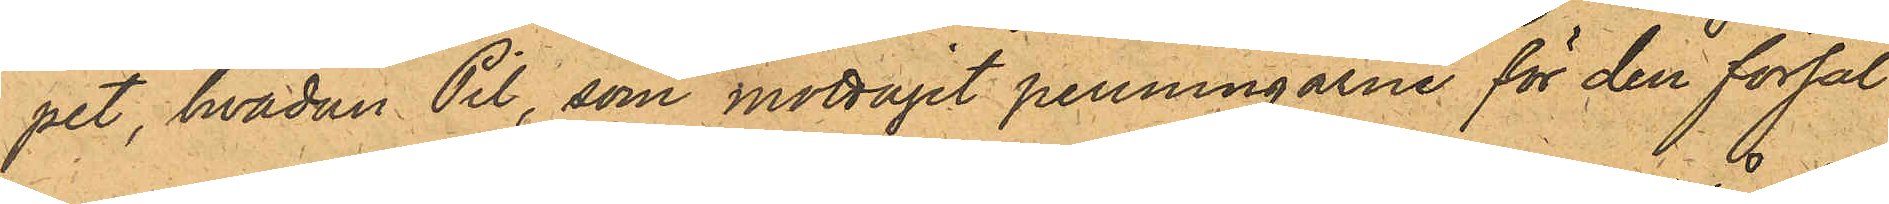pet, hvadan Pil, som mottagit penningarne för den försål¬
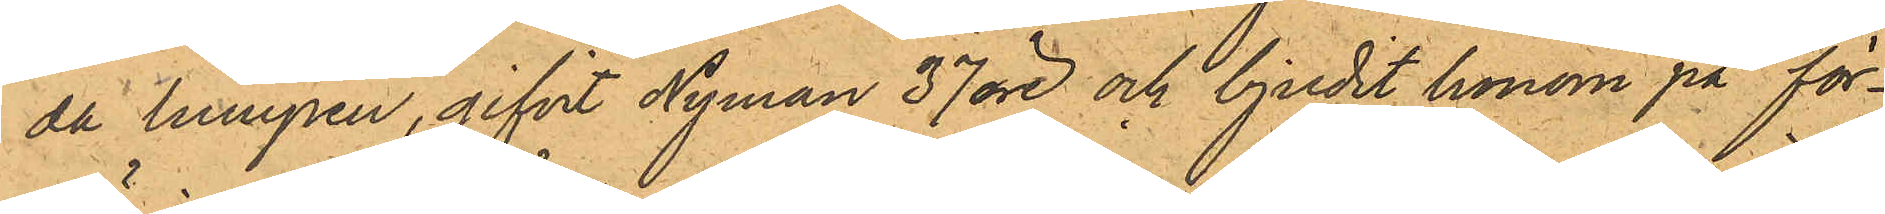da lumpen, gifvit Nyman 37 öre och bjudit honom på för¬
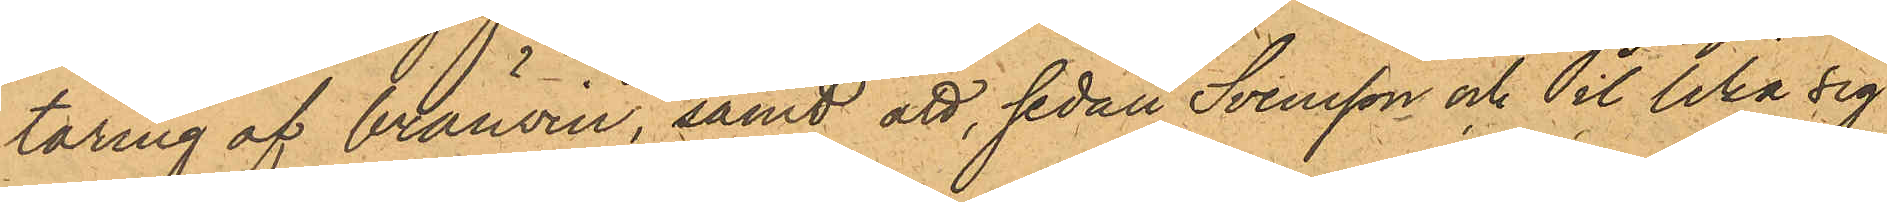täring af brännvin, samt att, sedan Svensson och Pil lika sig
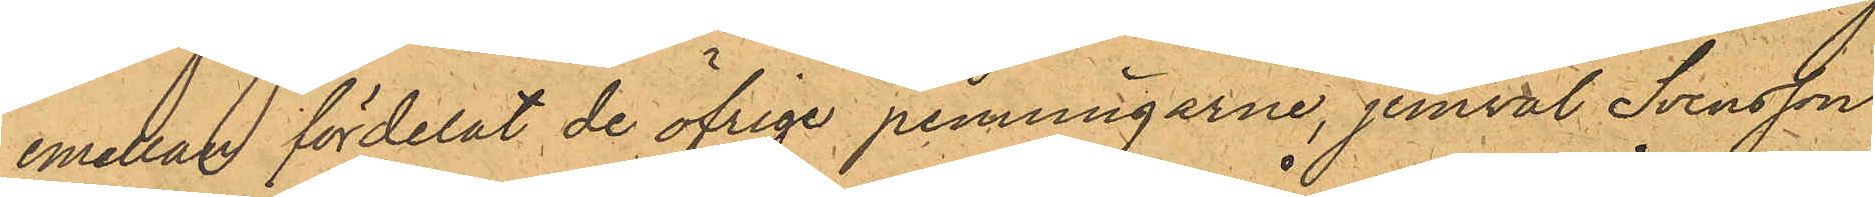emellan fördelat de öfrige penningarne, jemväl Svensson
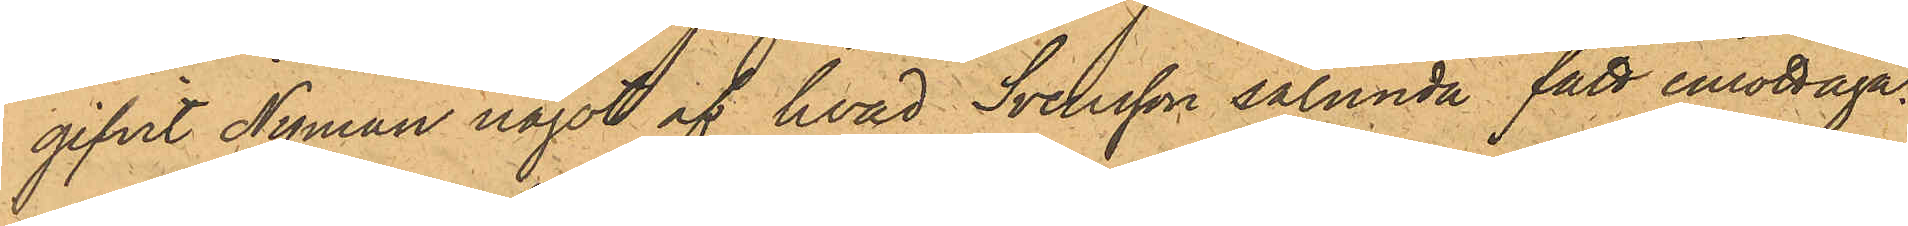gifvit Nyman något af hvad Svensson sålunda fått emottaga.
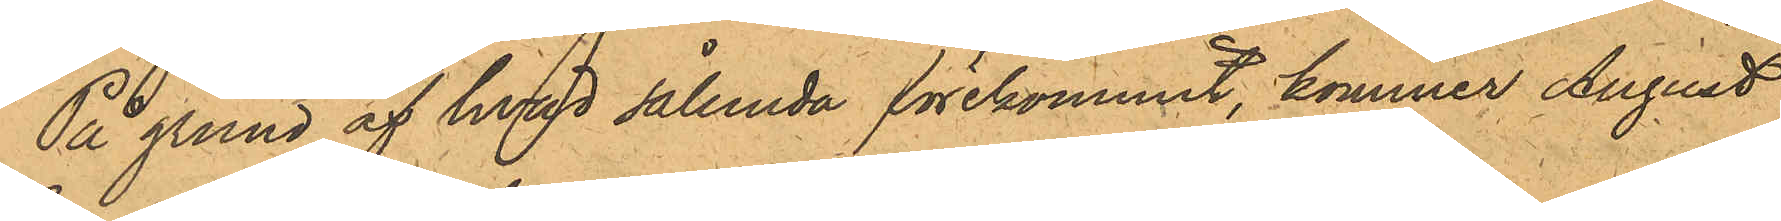På grund af hvad sålunda förekommit, kommer August
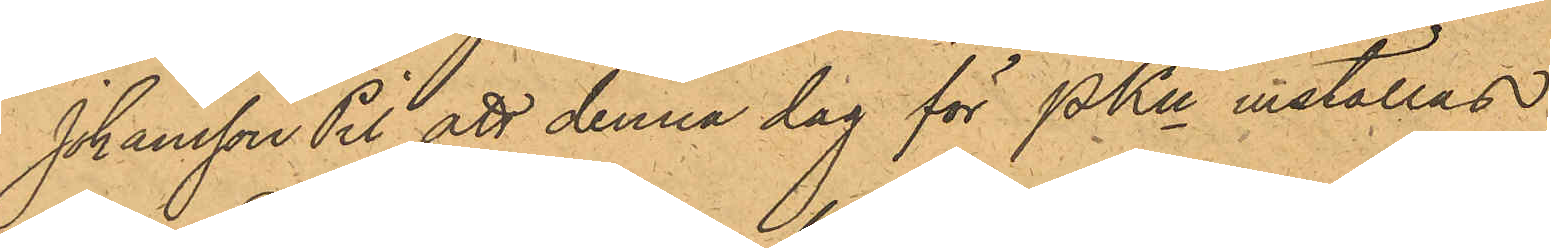Johansson Pil att denna dag för PKn inställas.
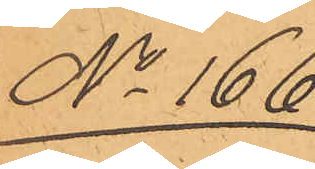No 166.
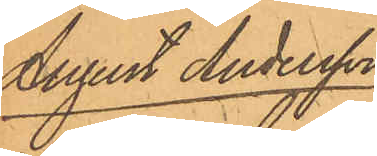August Andersson
